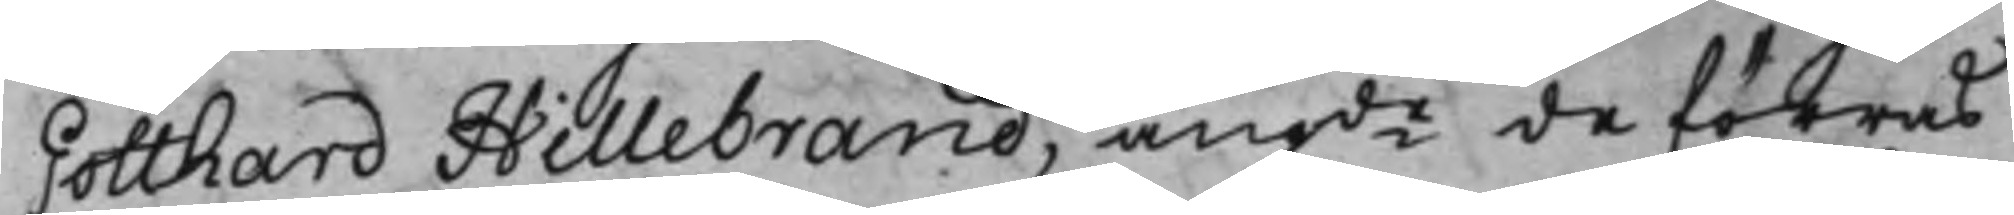Gotthard Hillebrand, angde de förras
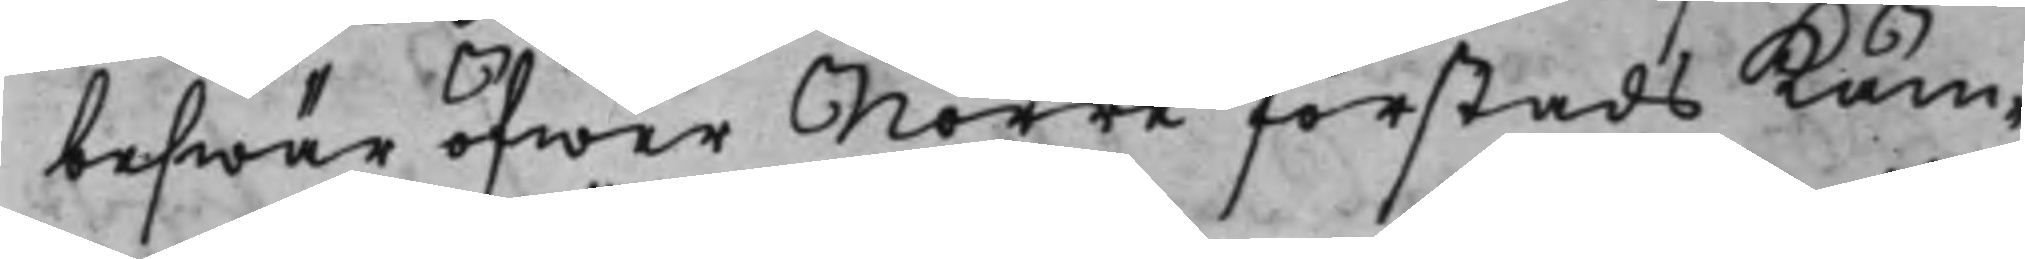beswär öfwer Norre förstads Käm¬
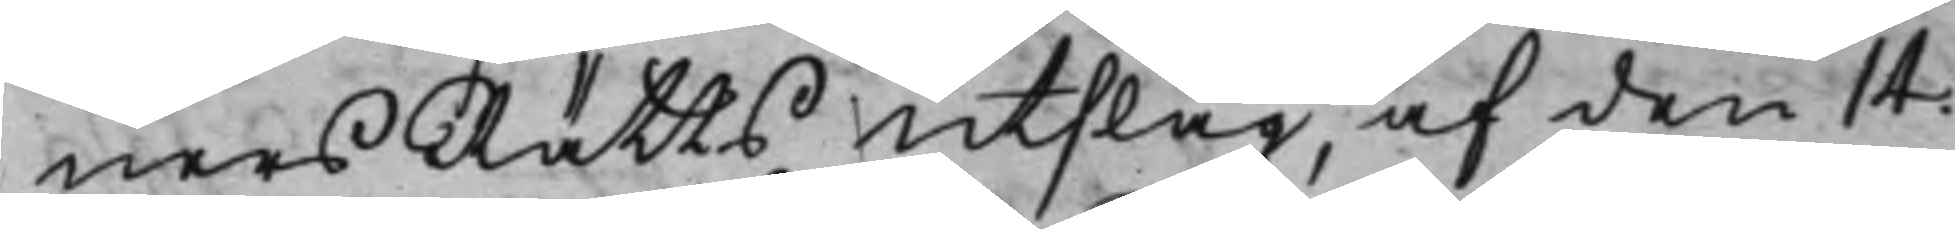närsRätts Utslag af den 14.
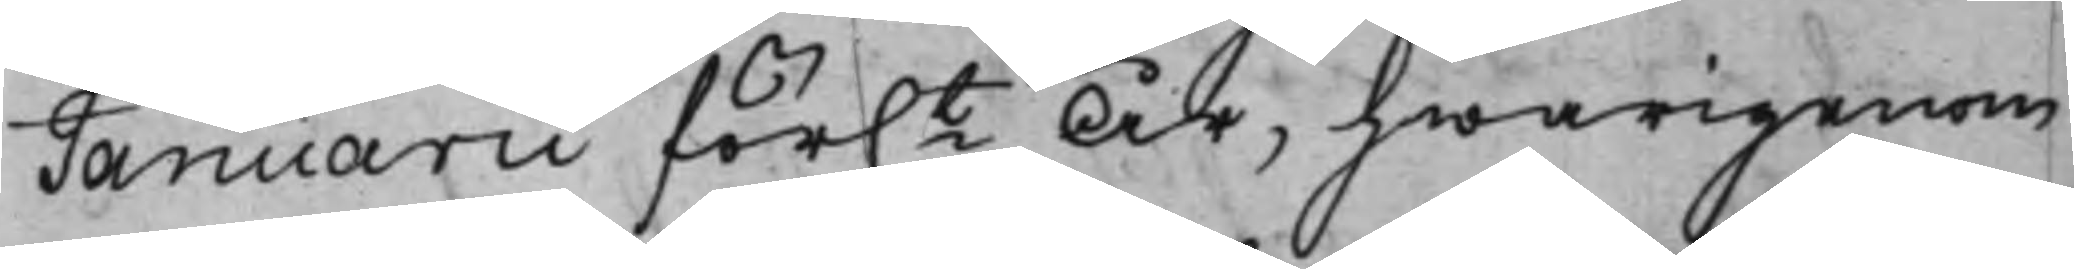Januarii för.t År, hwarigenom
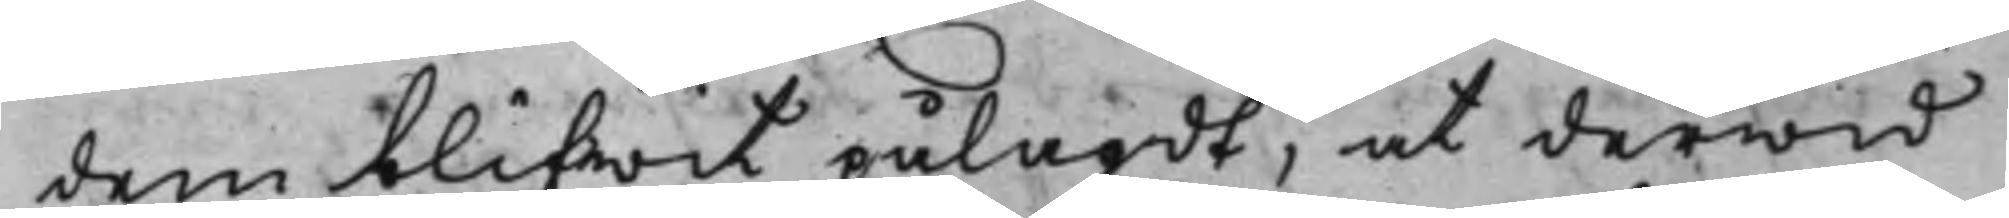dem blifwit pålagdt, at derwid
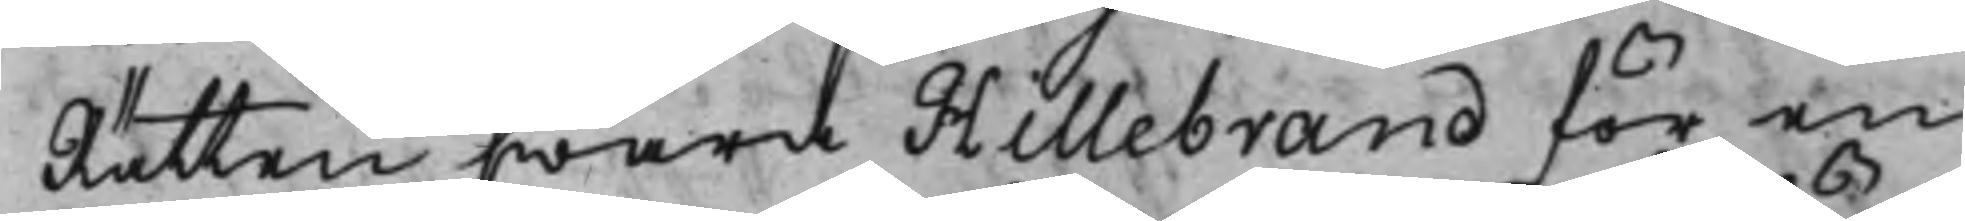Rätten swara Hillebrand för en
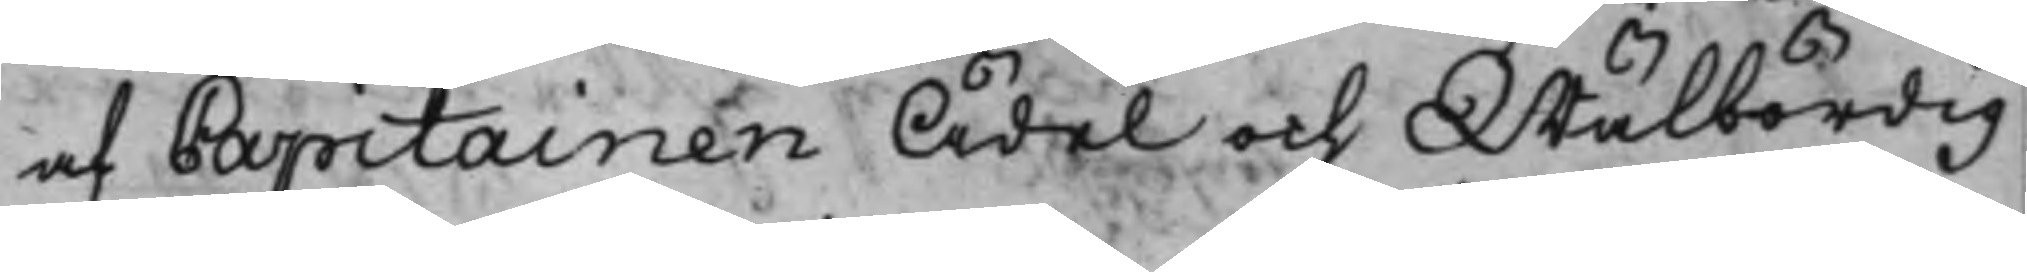af Capitainen Ädel och Wälbördig
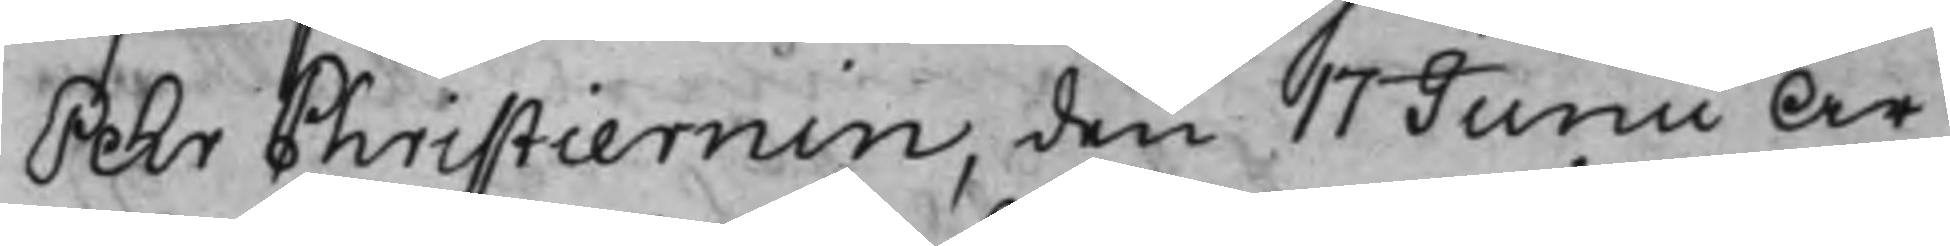Pehr Christiernin, den 17 Junii År
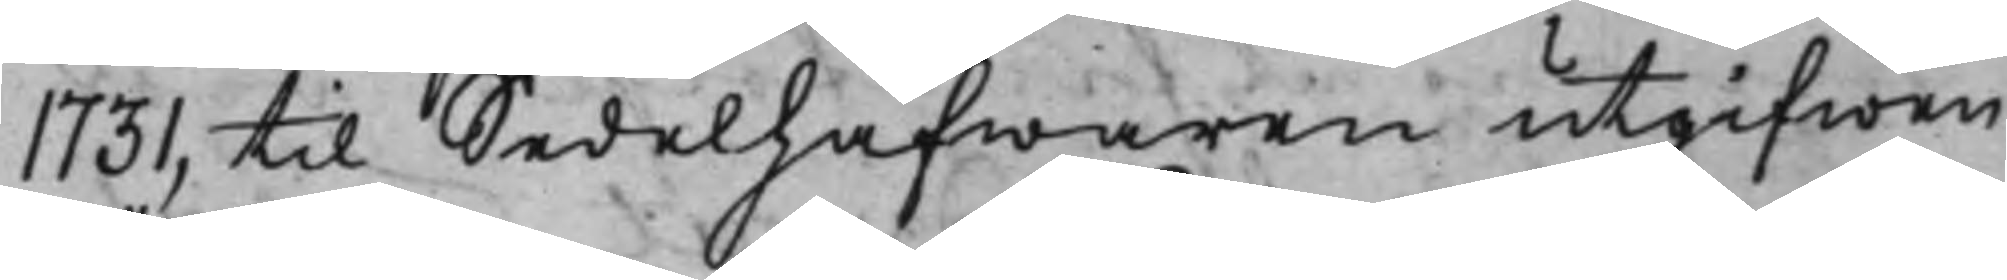1731, til Sedelhafwaren utgifwen
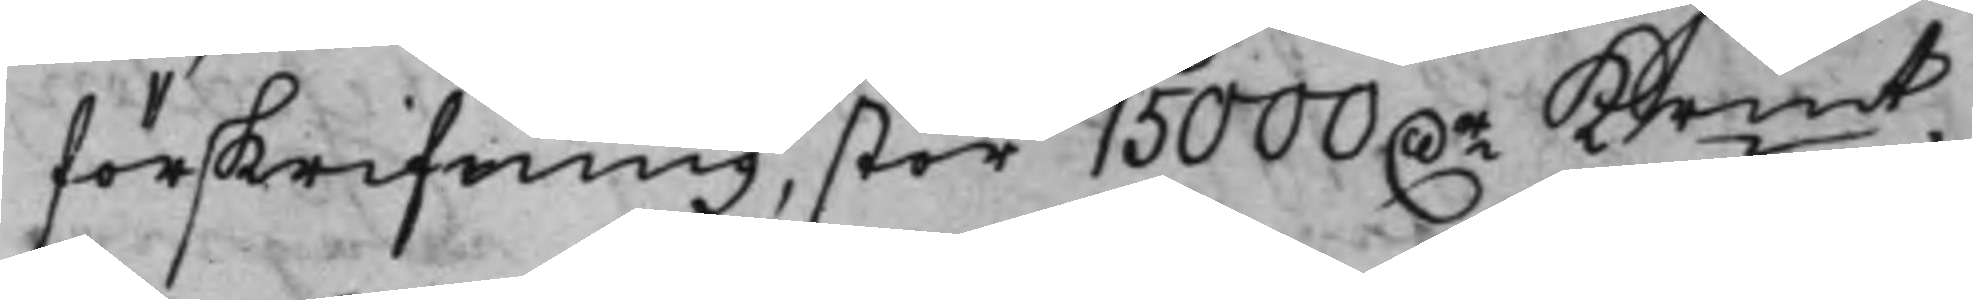förskrifning, stor 1500 D.r Krmt,
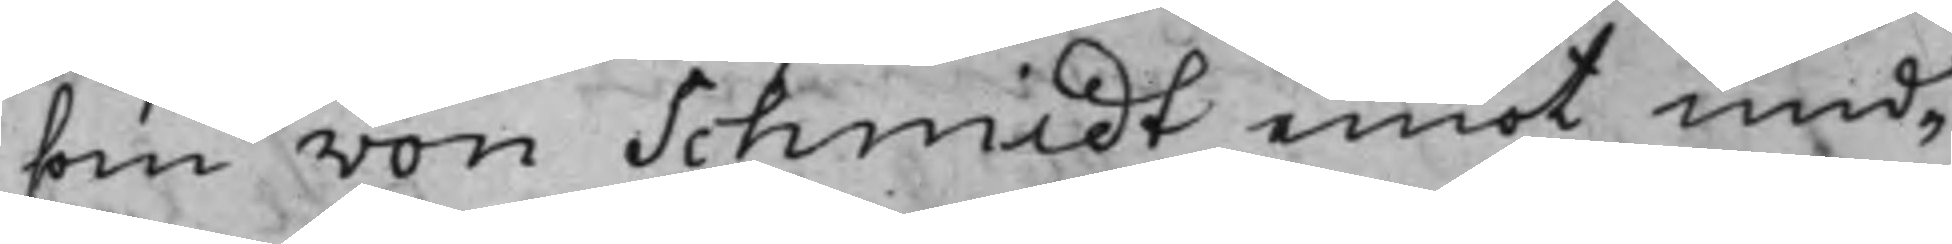som von Schmidt emot und¬
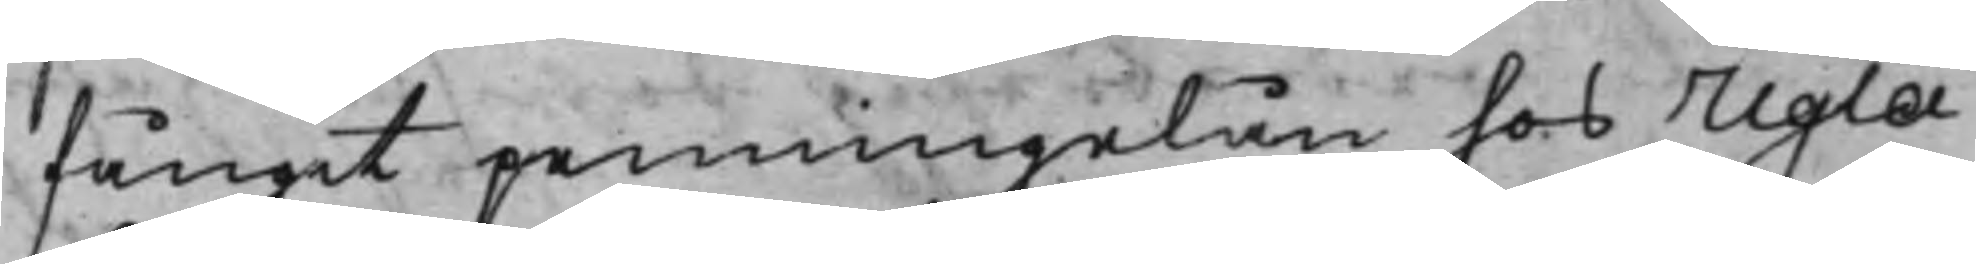fångit penningelån hos Ugla
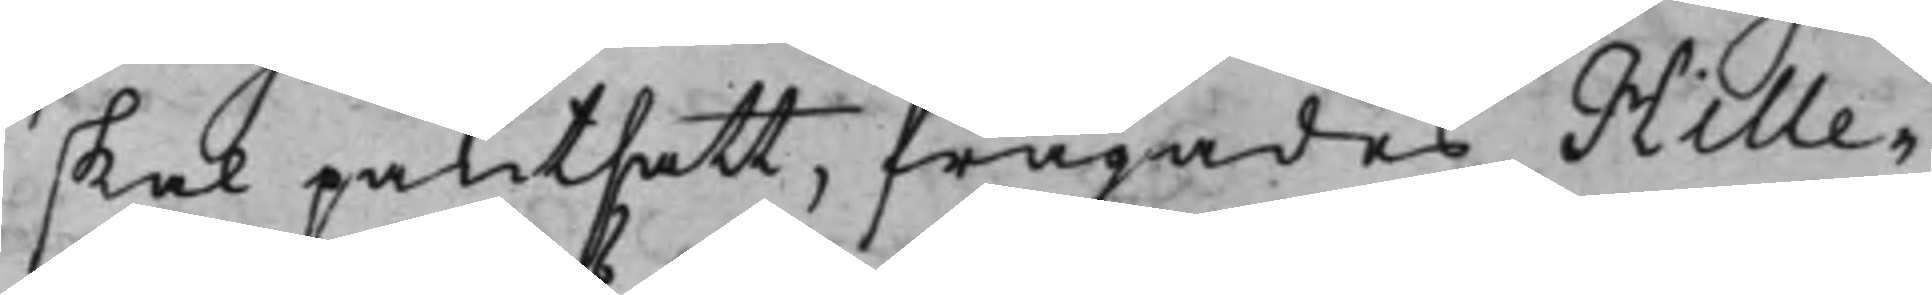skal pantsatt, frågades Hille¬
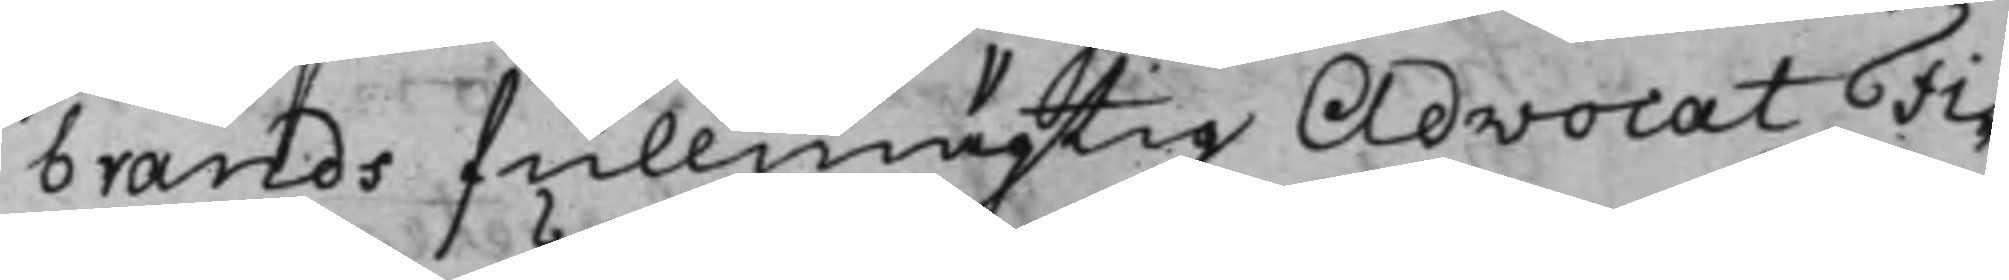brands fullmägtig AdvocatFi¬
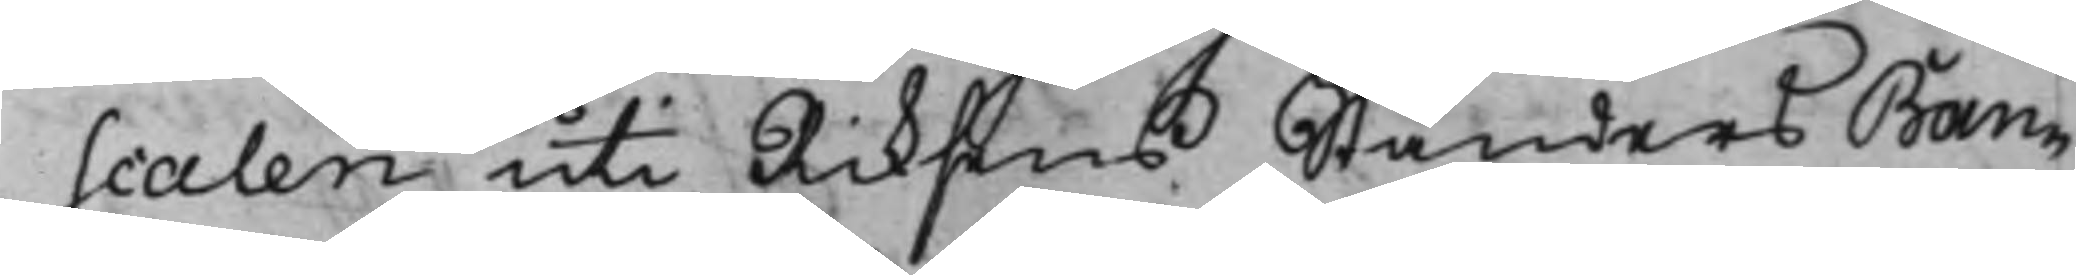scalen uti Riksens Ständers Ban¬
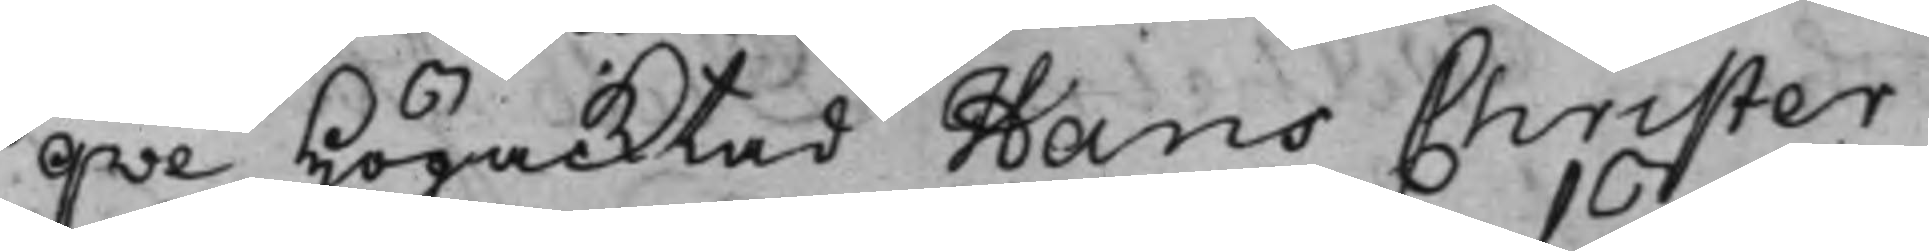qve Högacktad Hans Christer
